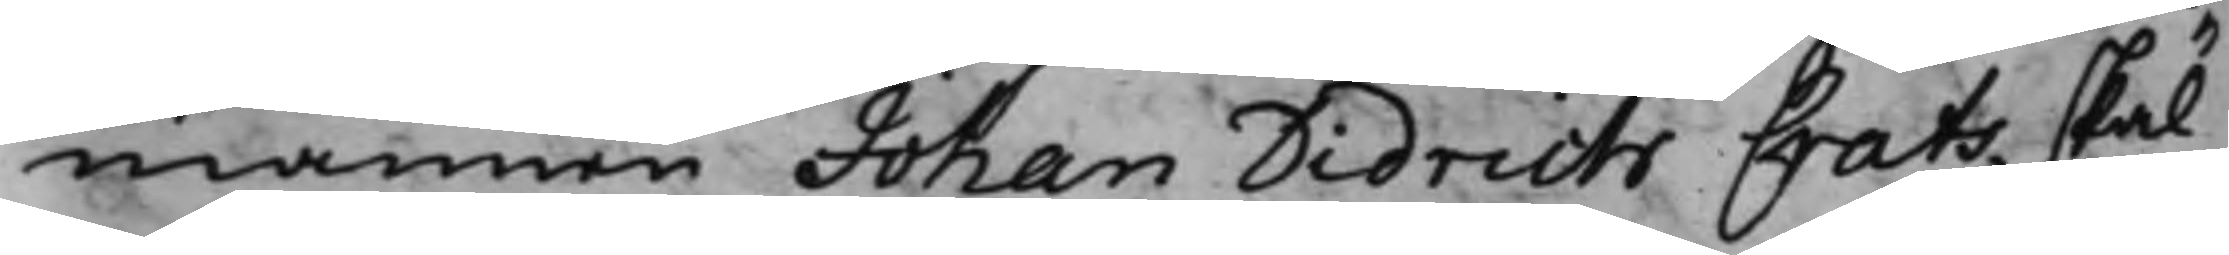mannen Johan Didrich Crats skal
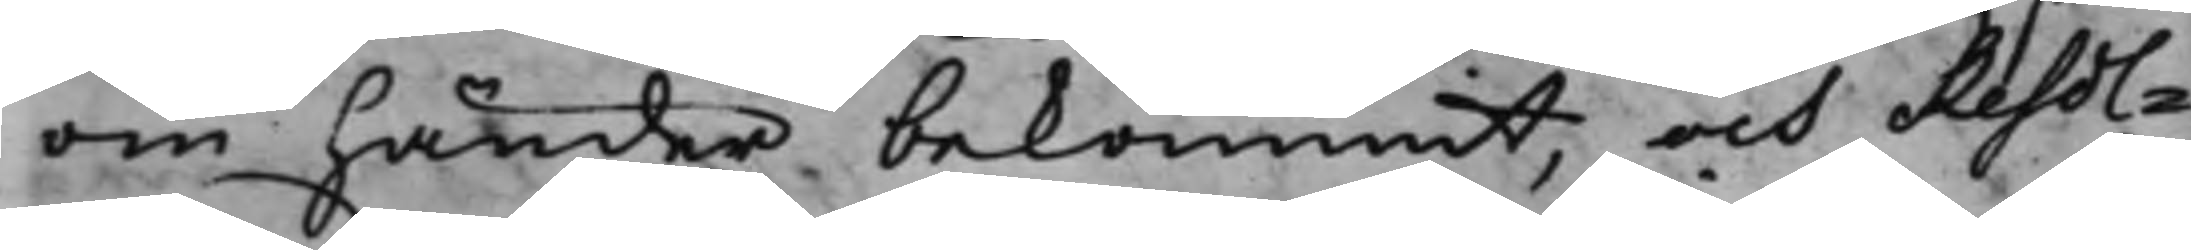om händer bekommit, och Resol¬
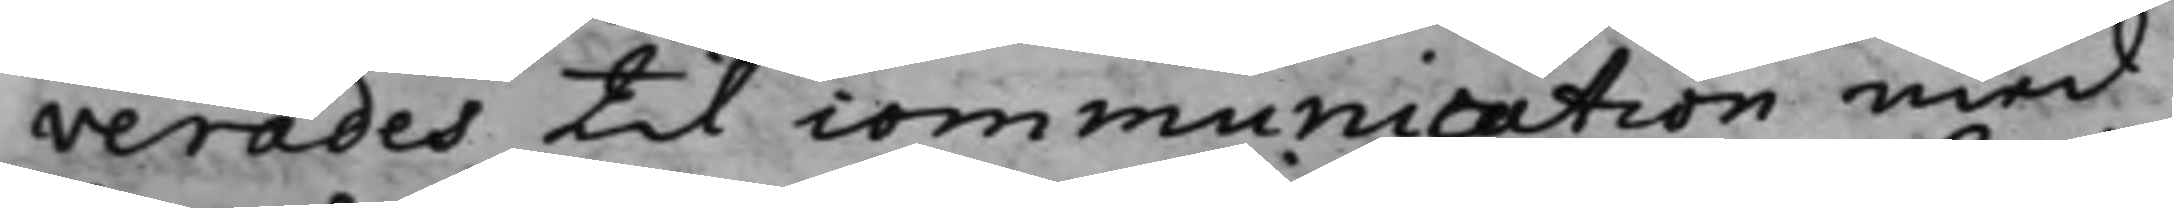verades till communication med
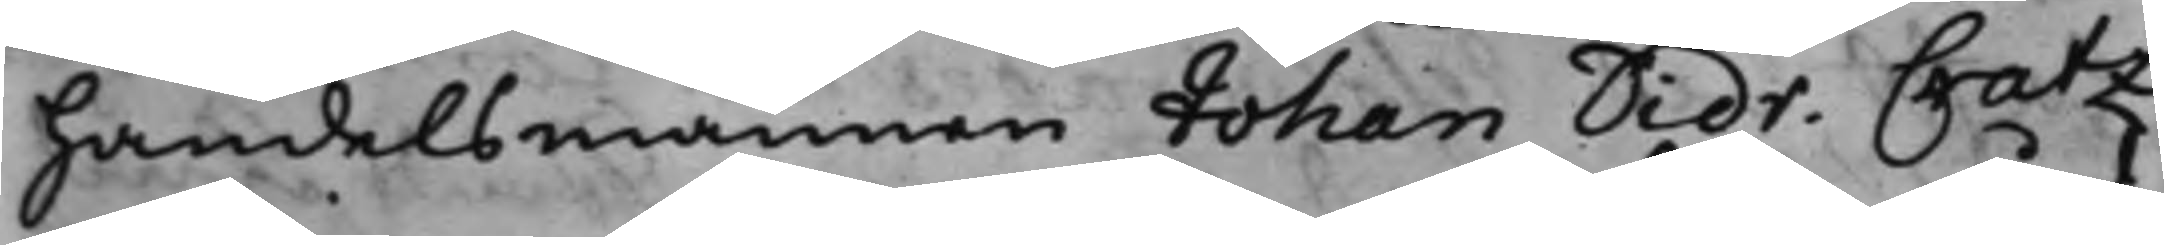Handelsmannen Johan Didr. Cratz
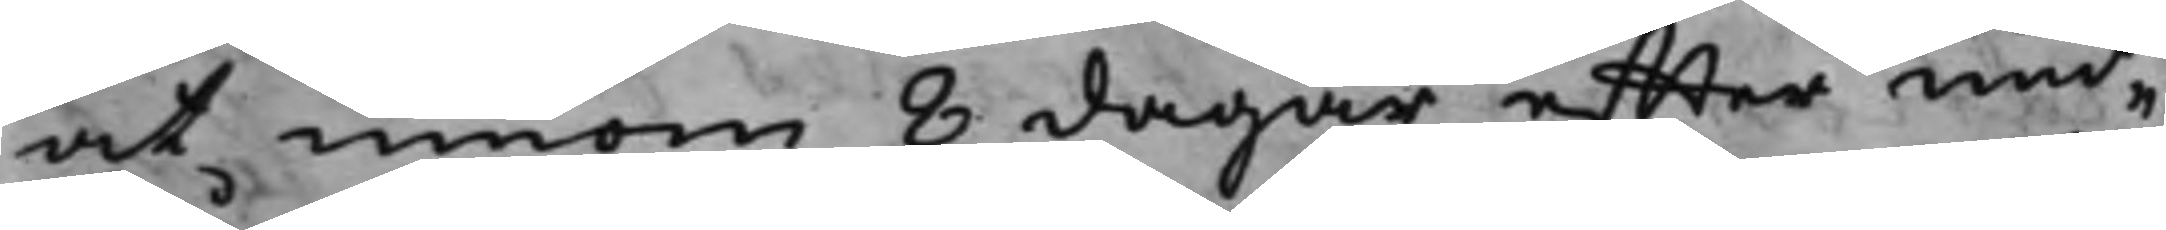at innom 8 dagar effter und¬
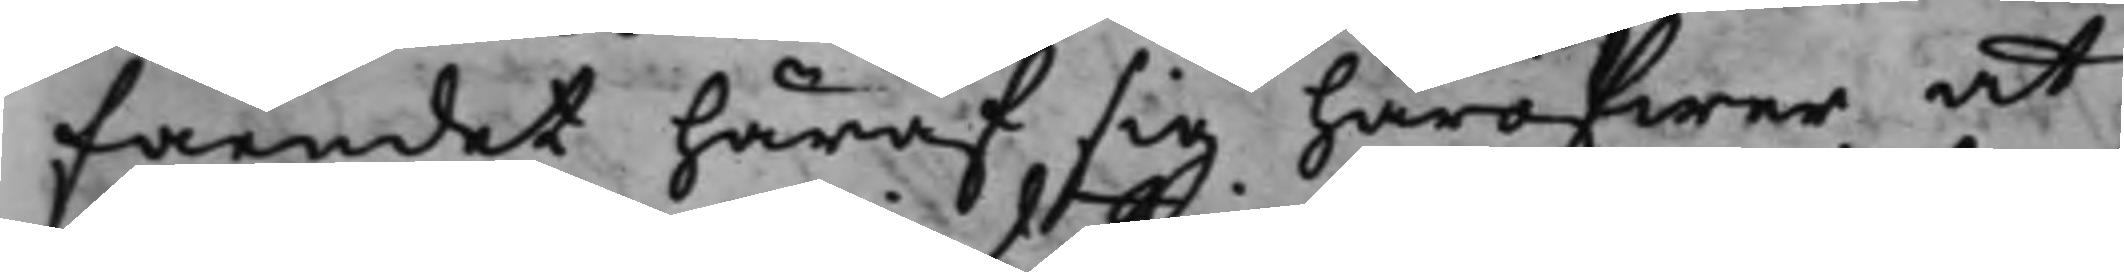fåendet häraf sig häröfwer at
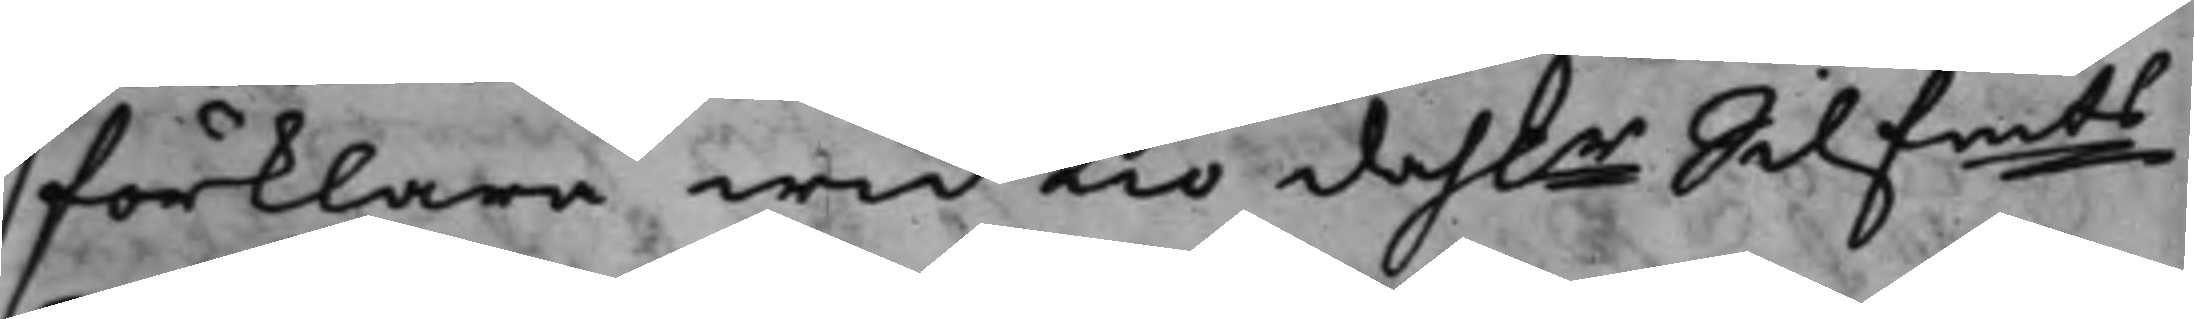förklara wid tio dah.r Silfmts
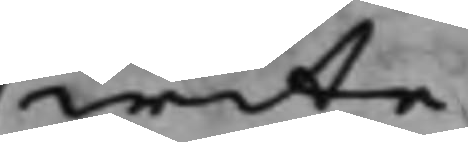wite.
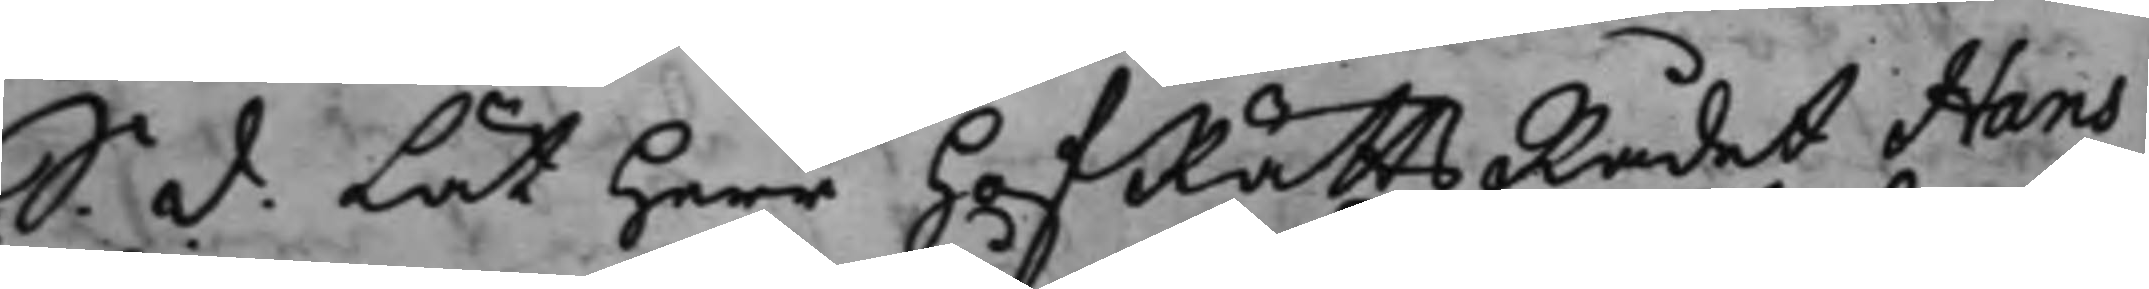S. d. Lät Herr HofRättsRådet Hans
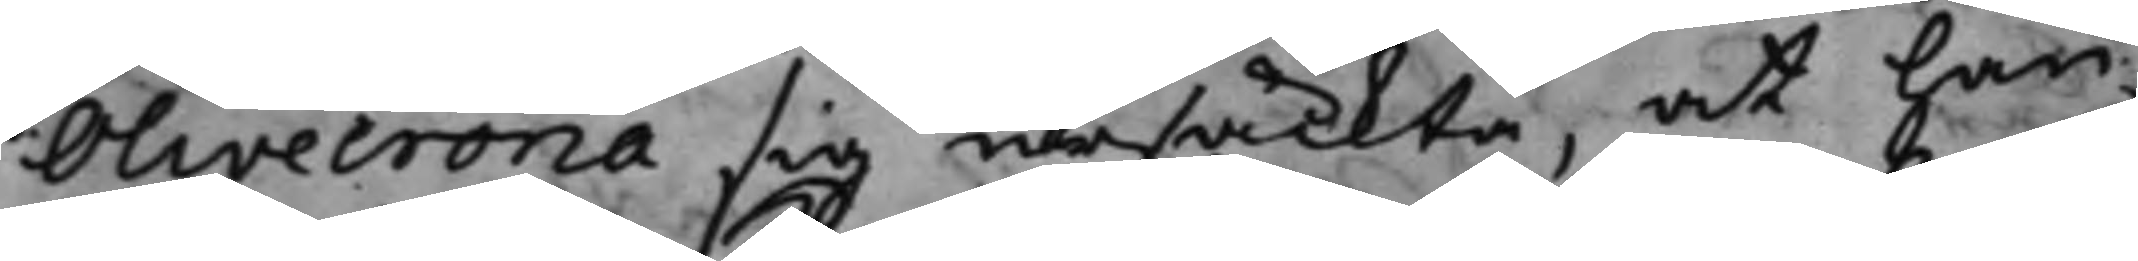Olivecrona sig ursäckta, at han
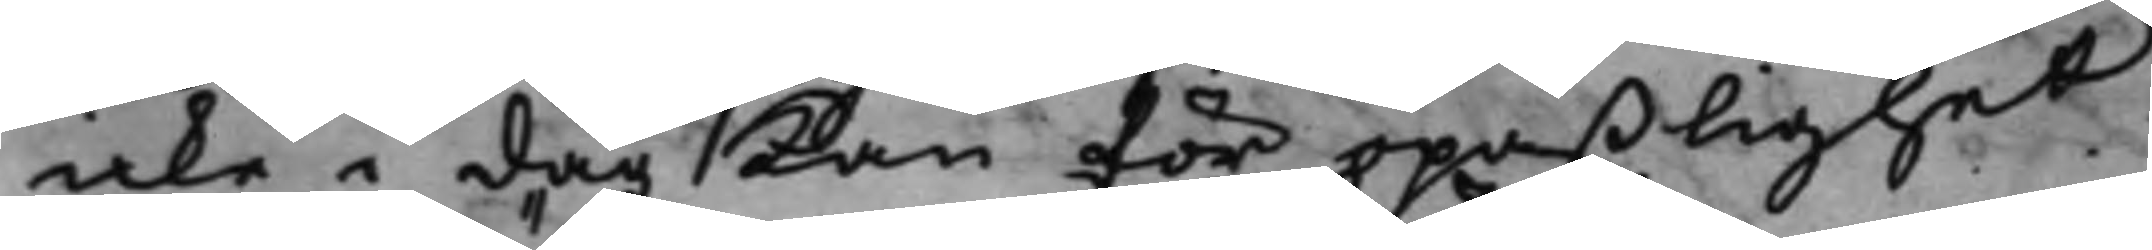icke i dag kan för opaßlighet
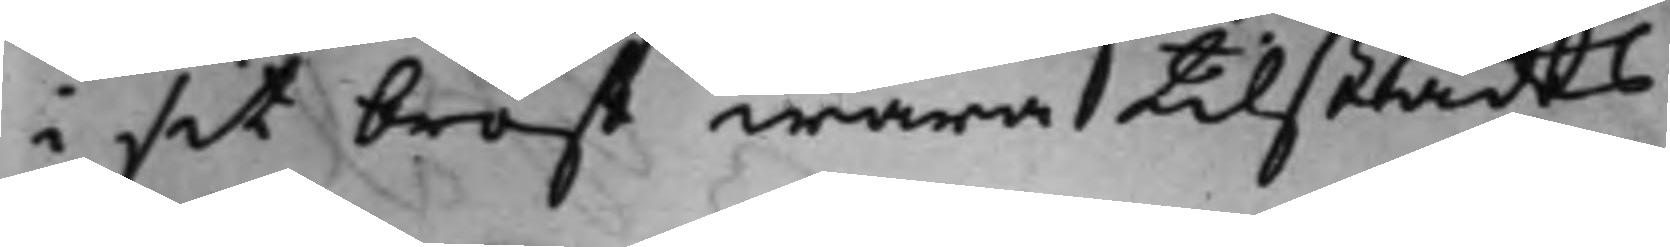i sit bröst wara tilstädes.
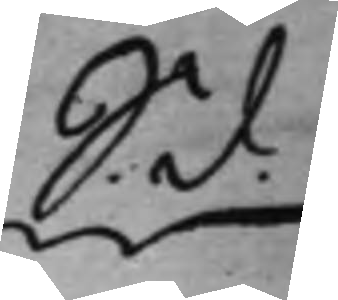S. d.
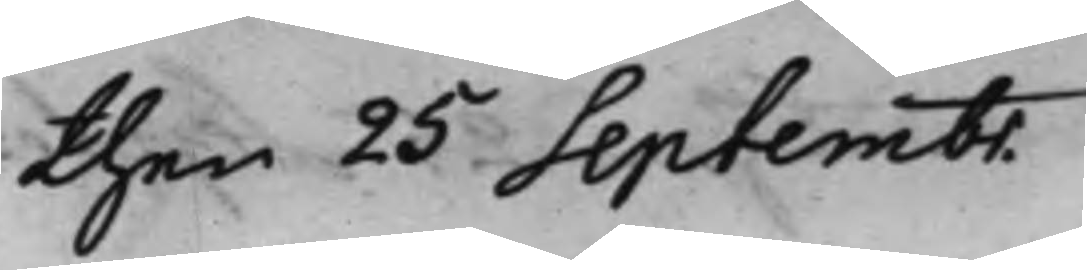then 25 Septembr.
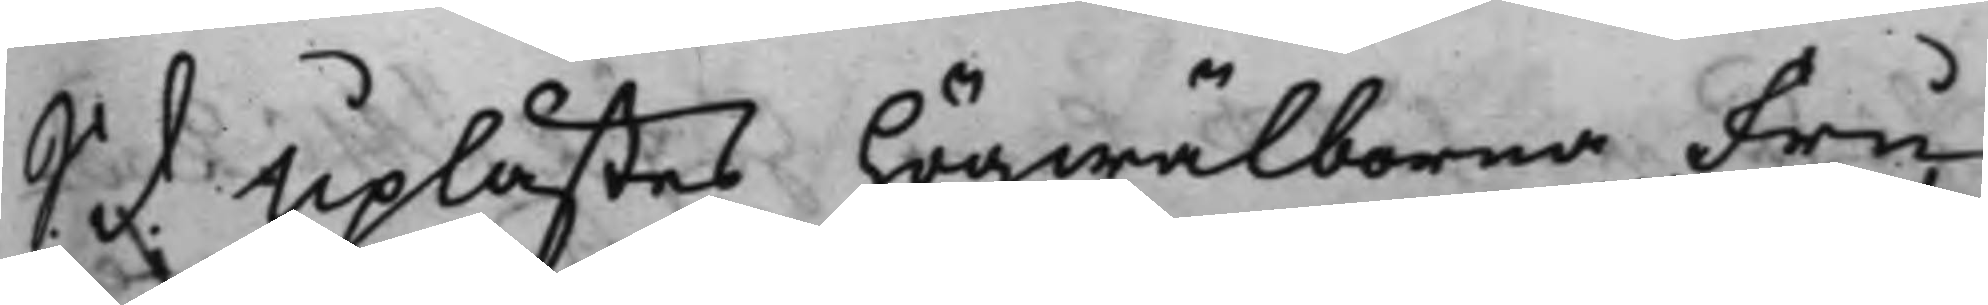S. d. Uplästes högwälborna Fru
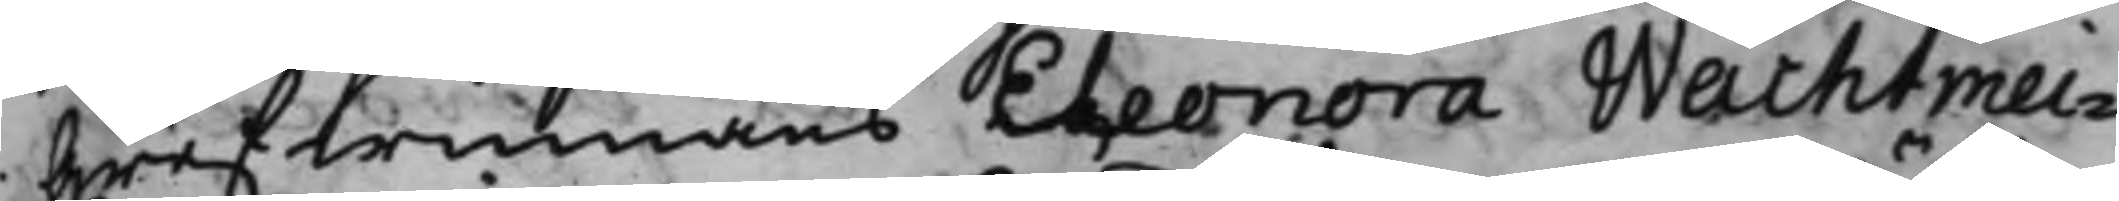Grefwinnans Eleonora Wachtmei¬
